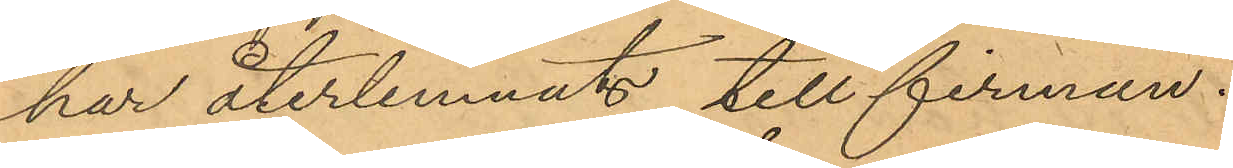har återlemnats till firman.
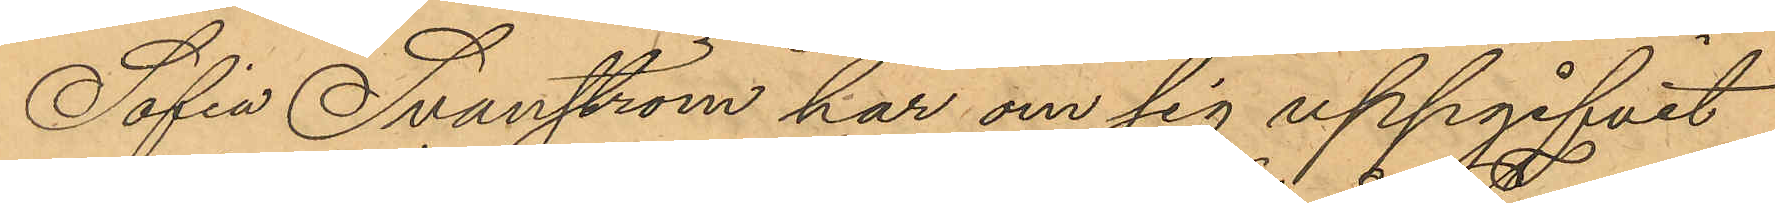Sofia Svanström har om sig uppgifvit
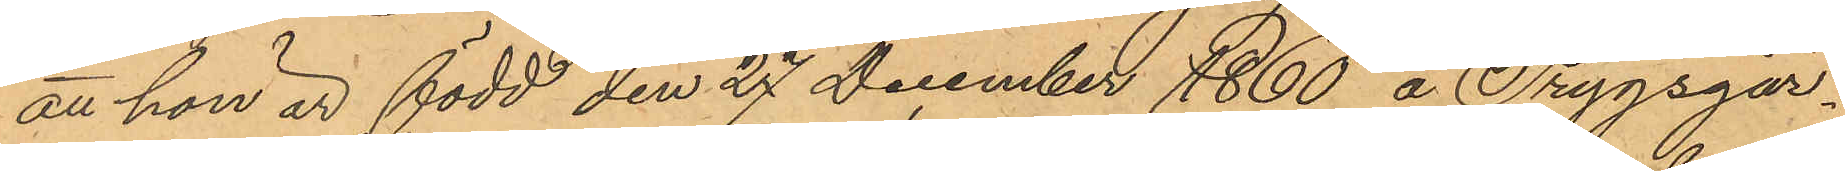att hon är född den 27 December 1860 å Trygsgår¬
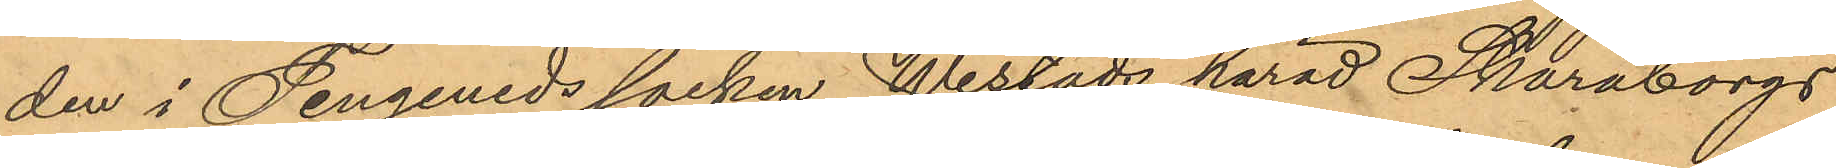den i Tengeneds socken Wistads härad Skaraborgs
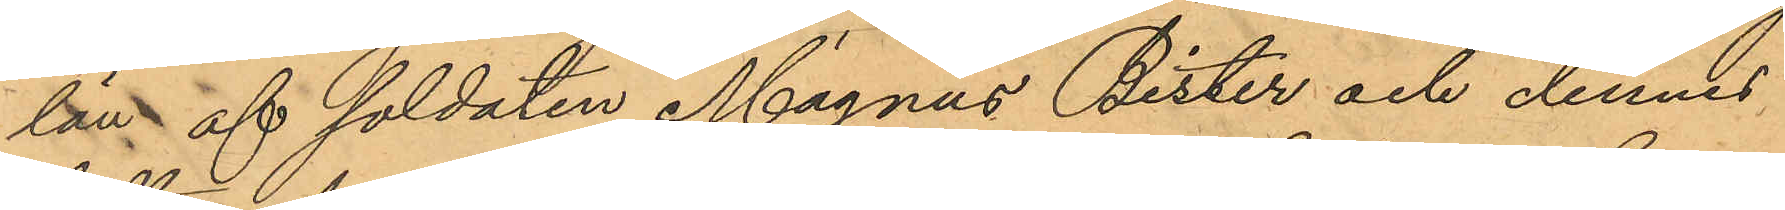län af soldaten Magnus Bister och dennes
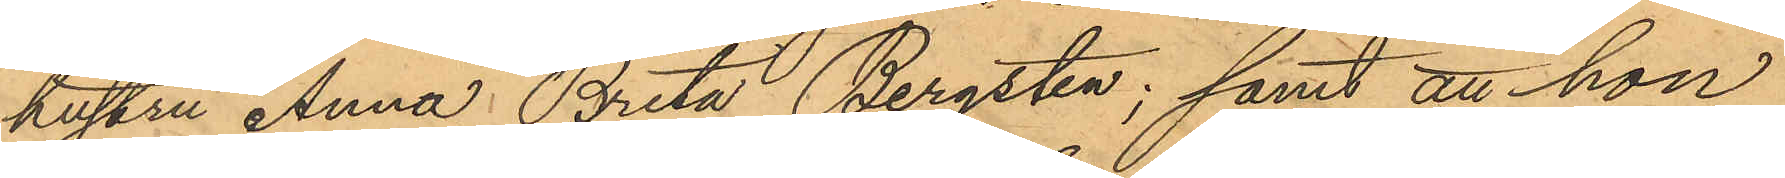hustru Anna Brita Bergsten; samt att hon
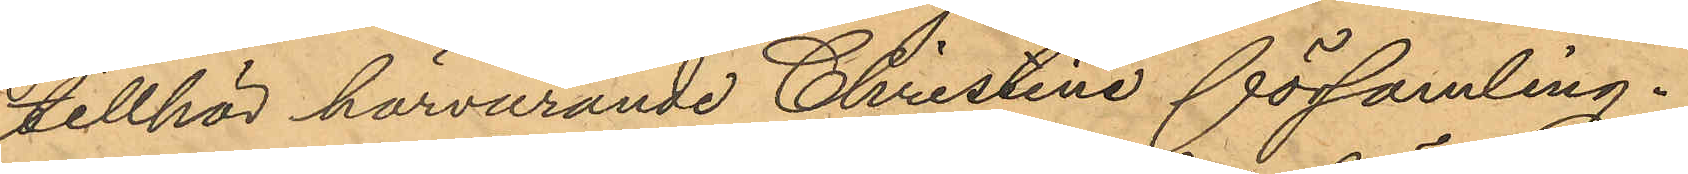tillhör härvarande Christine församling.
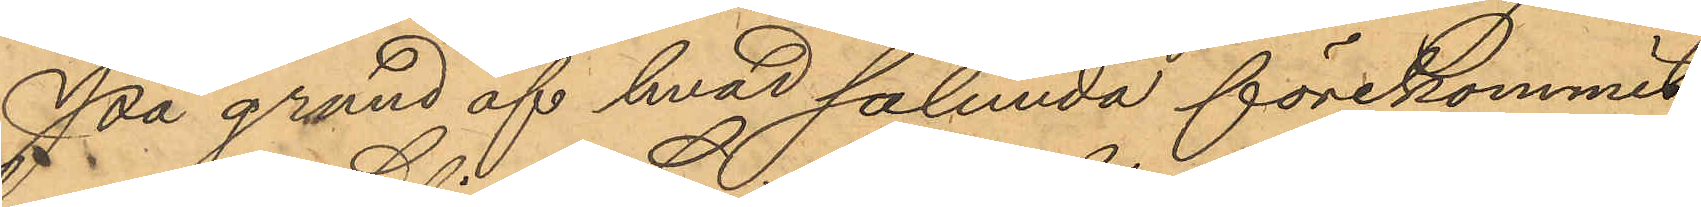På grund af hvad sålunda förekommit
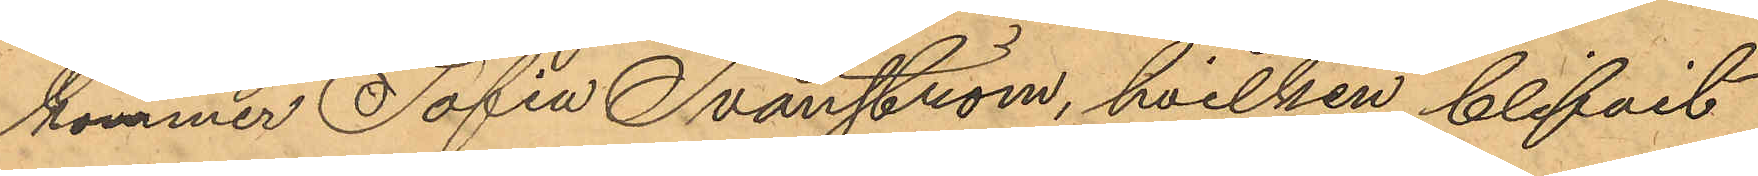kommer Sofia Svanström, hvilken blifvit
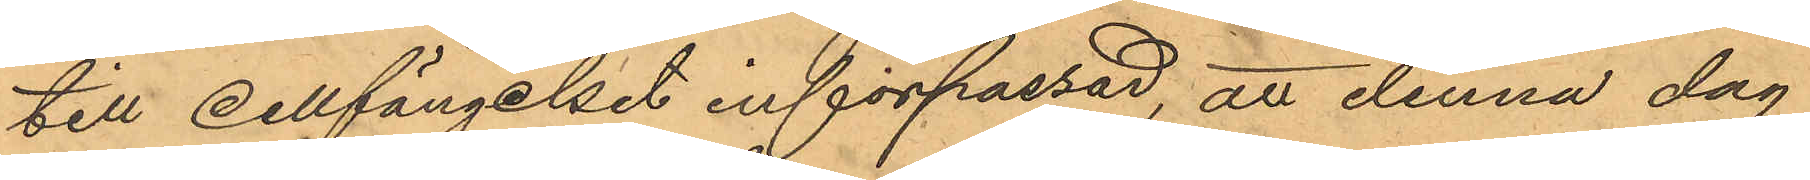till cellfängelset införpassad, att denna dag
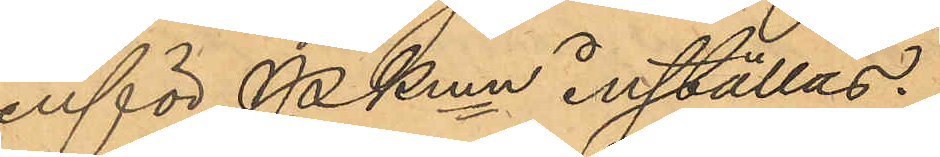inför PKmn inställas.
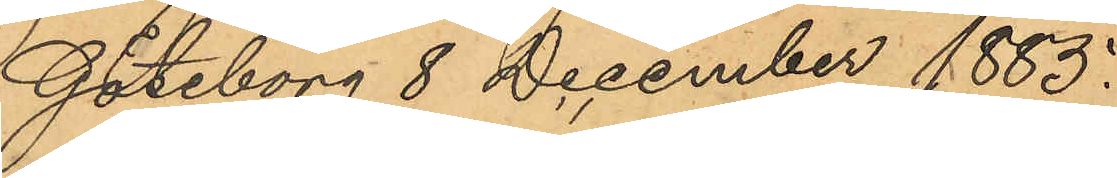Göteborg 8 December 1885.
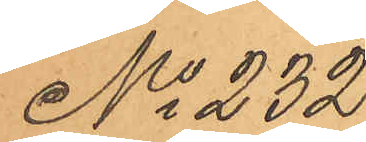No 232
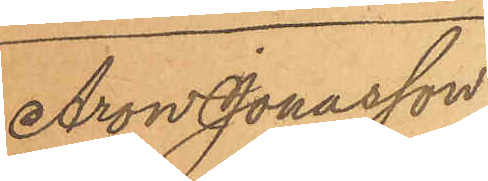Aron Jonasson
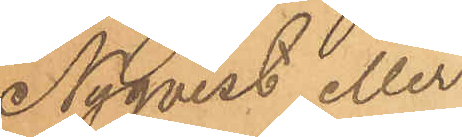Nyqvist eller
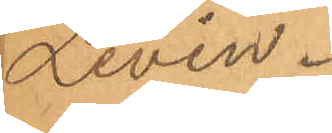Levin.
